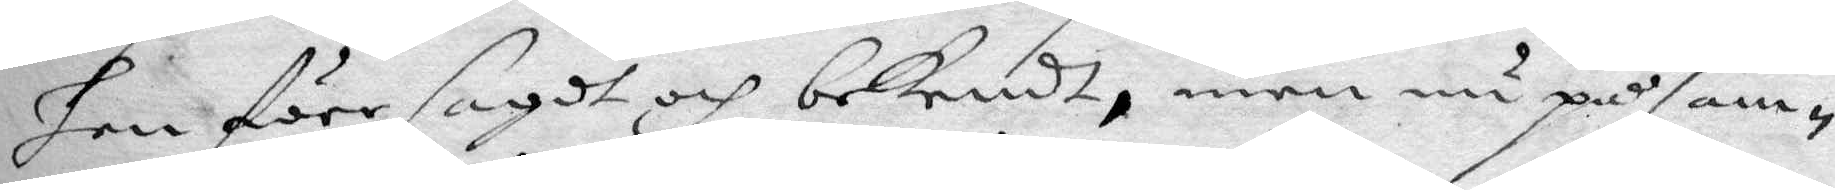han före sagdt och bekendt, men nu på sam¬
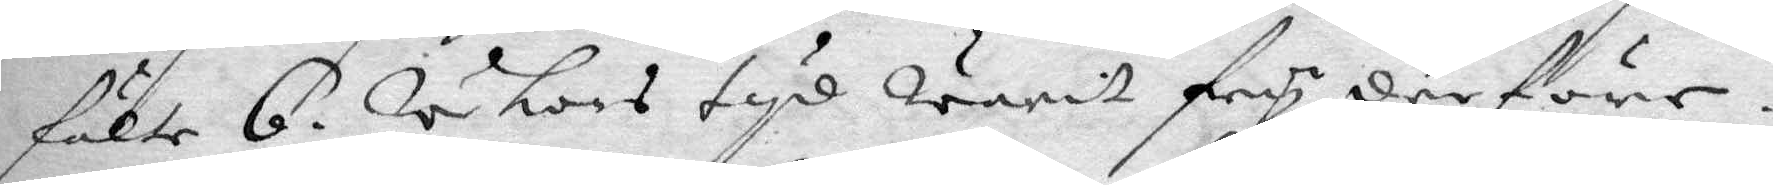fälte 6. wekors tyd warit fry derföre.
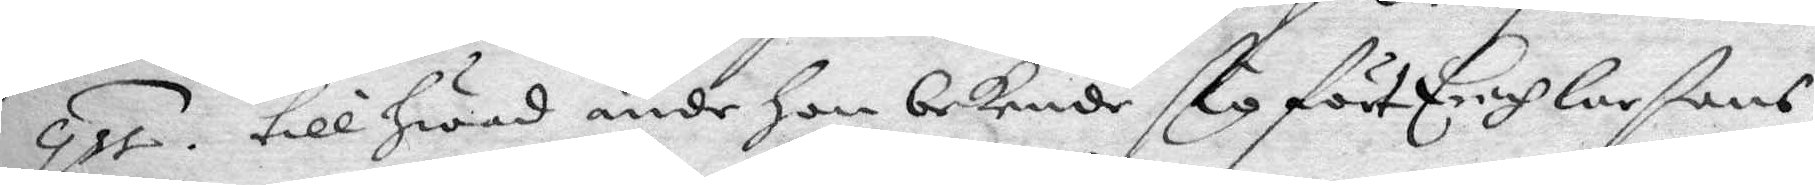qst. till hwad ände Han bekende sig för Erich Larßons
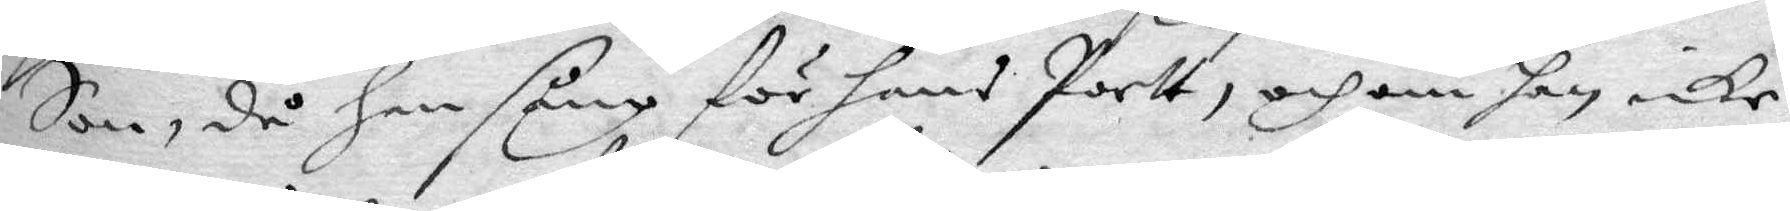Son, då han sång för hans Portt, och om han icke
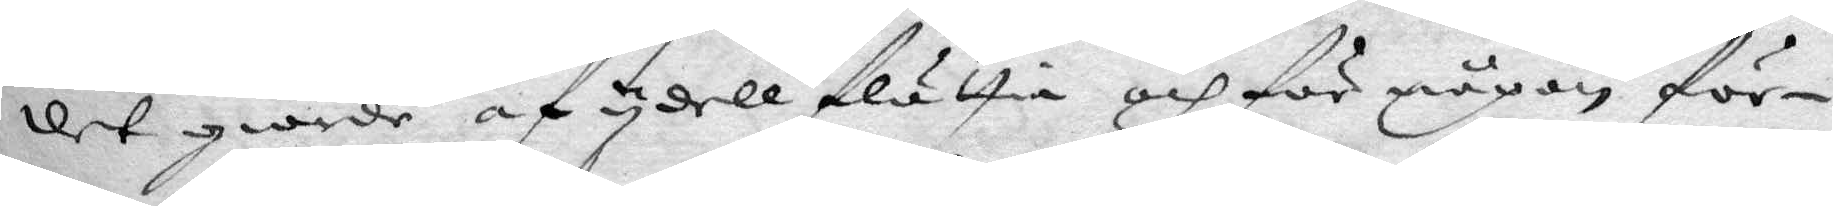det giorde af ydell flättia och för någon för¬
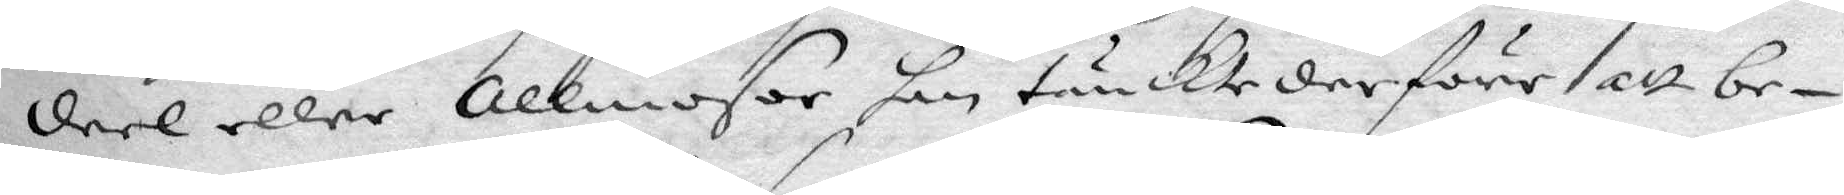deel eller Allmosor han tänckte derföre att be¬
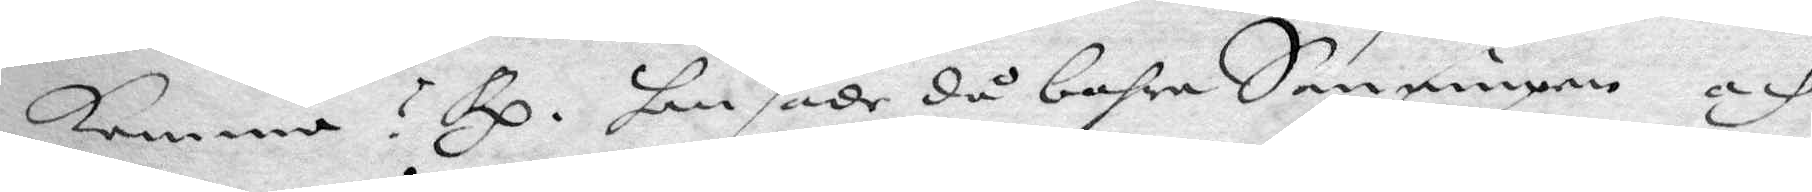komma? Rp. han sade då bahra Sanningen och
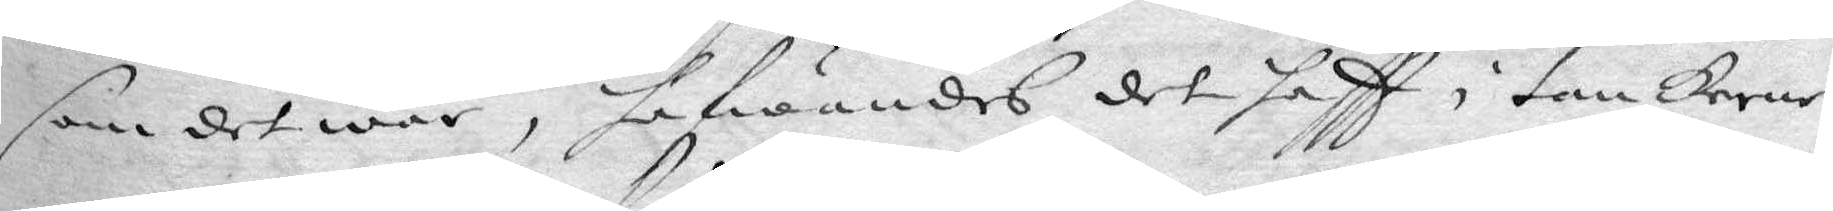som det war, hafwandes det haftt i tankerne
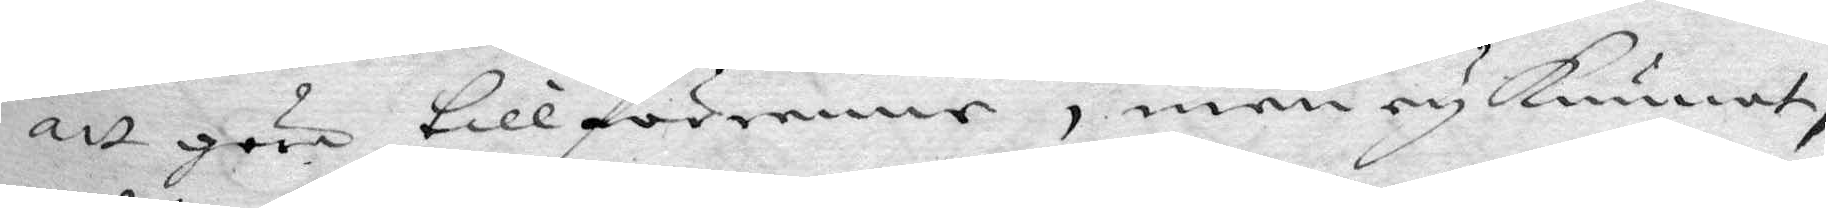att göra tillförene, men ey Kunnat,
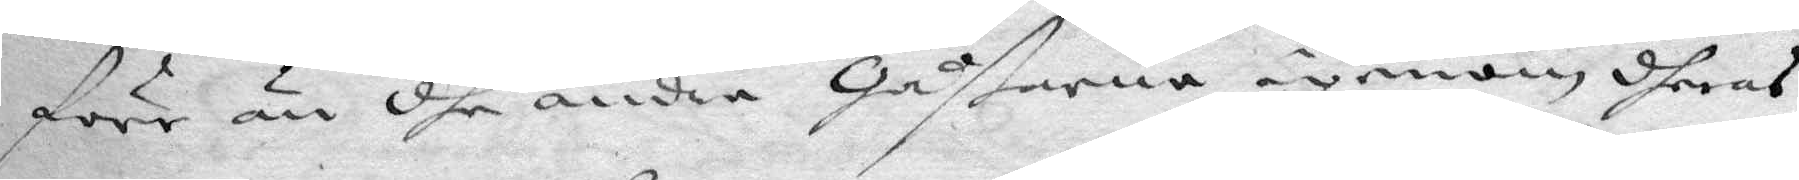förr än dhe andra Gåßarna igenom dheras
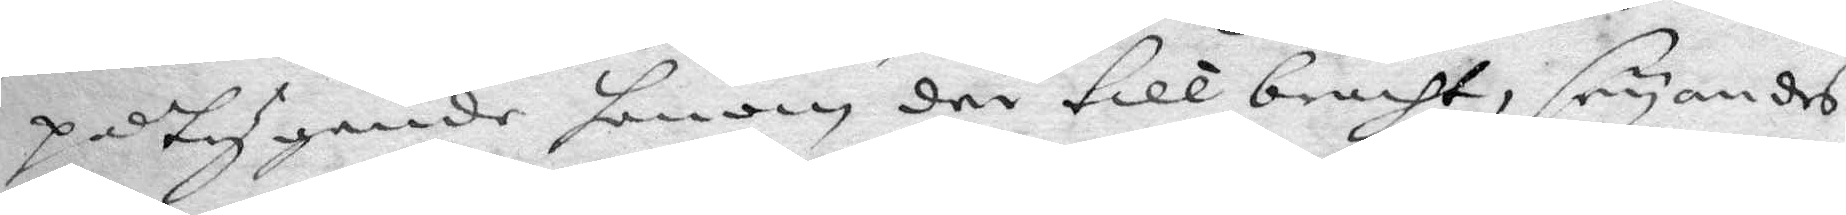påtygande honom der till bracht, säyandes
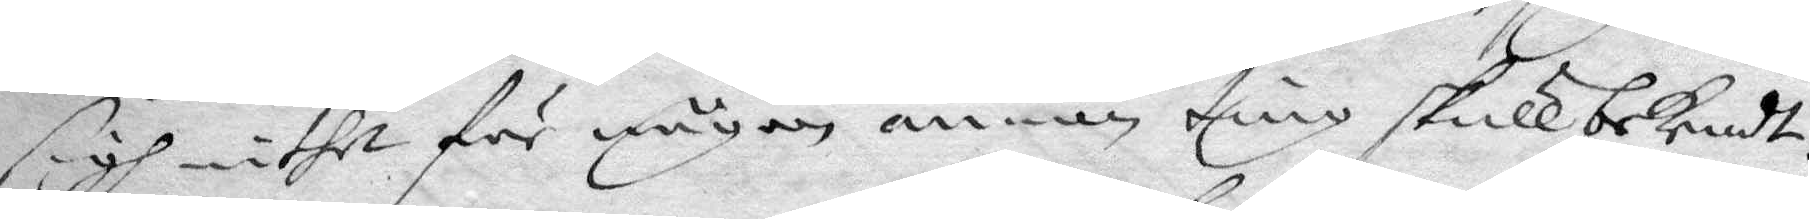sigh inthet för någon annan ting skull bekendt,
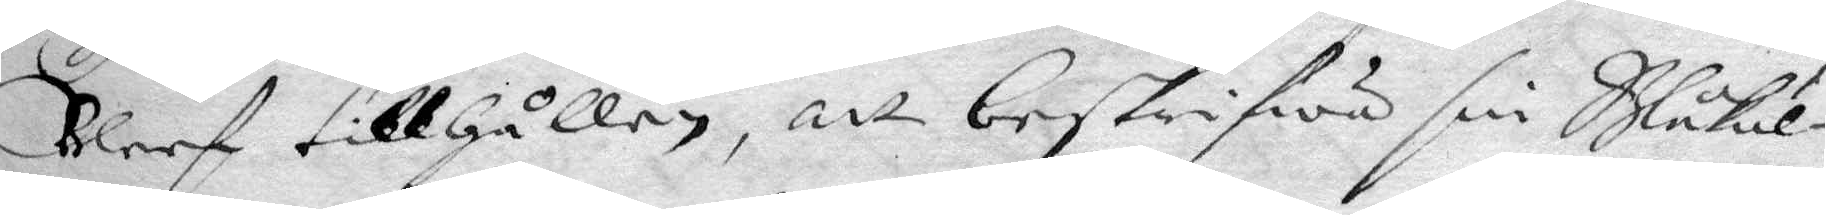Bleef tillhållen, att beskrifwa sin Blåkul¬
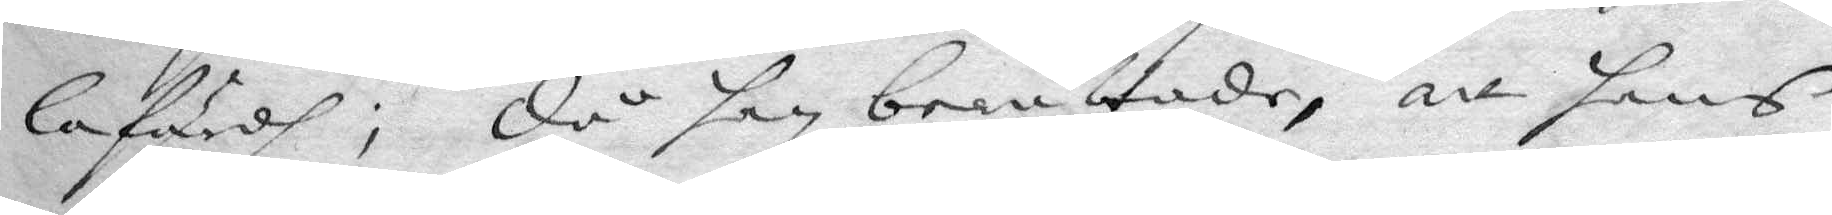lafärdh; då han berättade, att hans
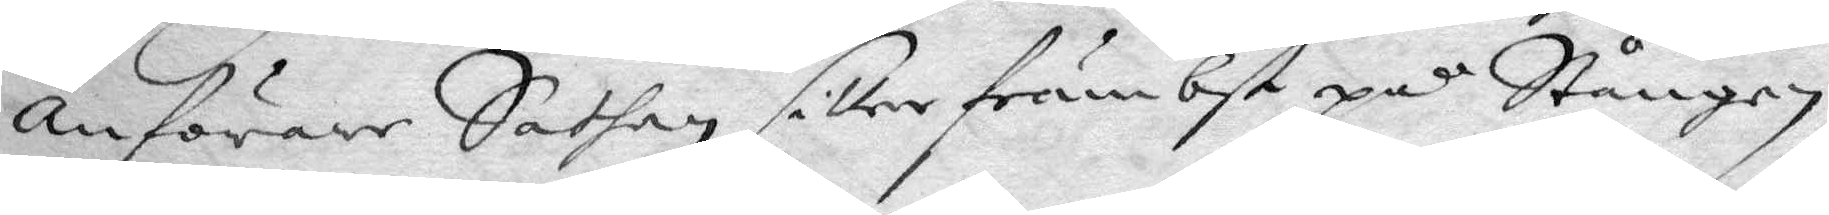anförare Sathan sitter främbst på Stången
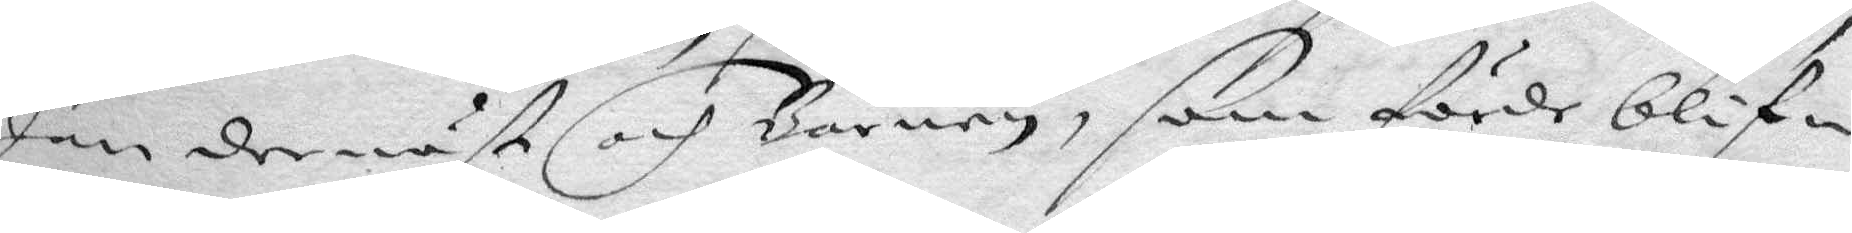han dernäst och Barnen, som förde blif¬
